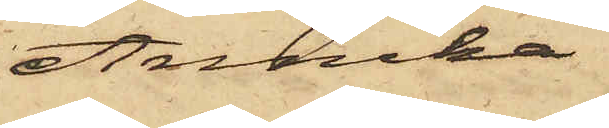Annika
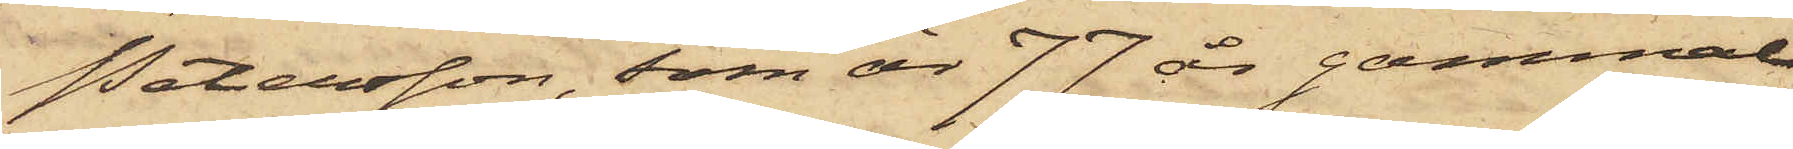Petersson, som är 77 år gammal
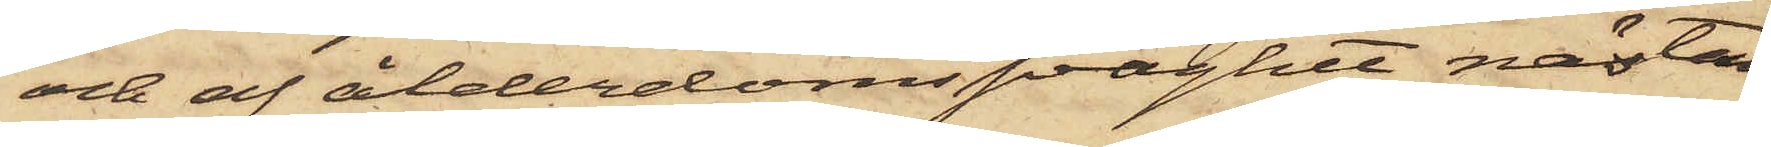och af ålderdomssvaghet nästan
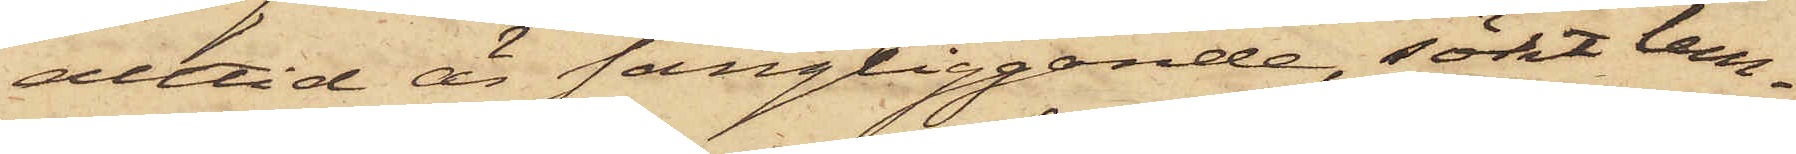alltid är sängliggande, sökt lem¬
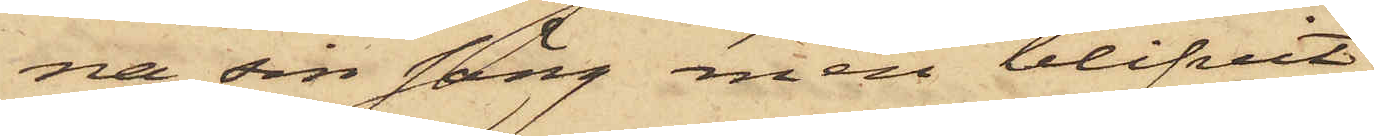na sin säng men blifvit
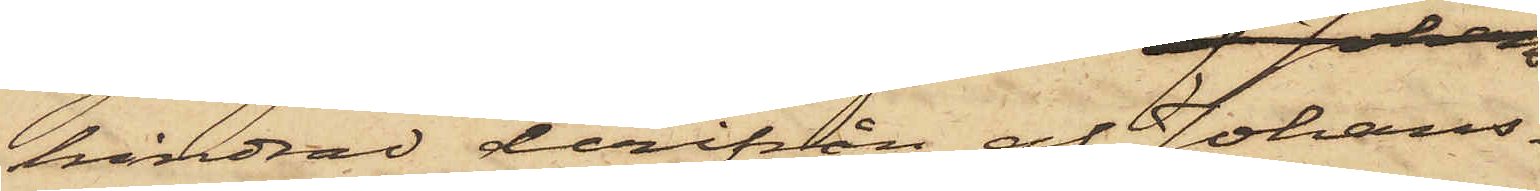hindrad derifrån af Johans¬
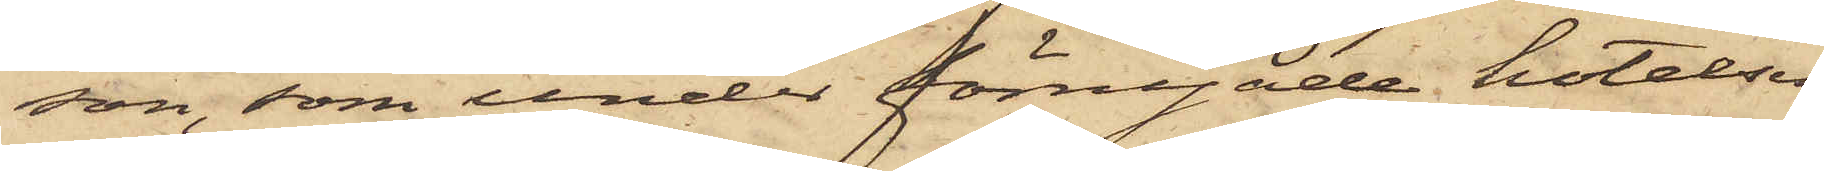son, som under förnyade hotelser
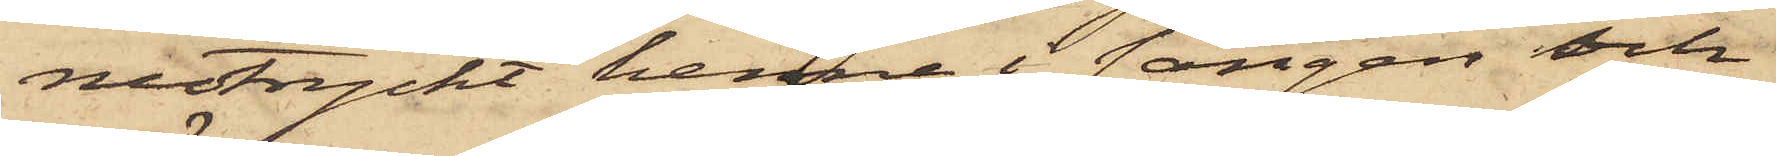nedtryckt henne i sängen och
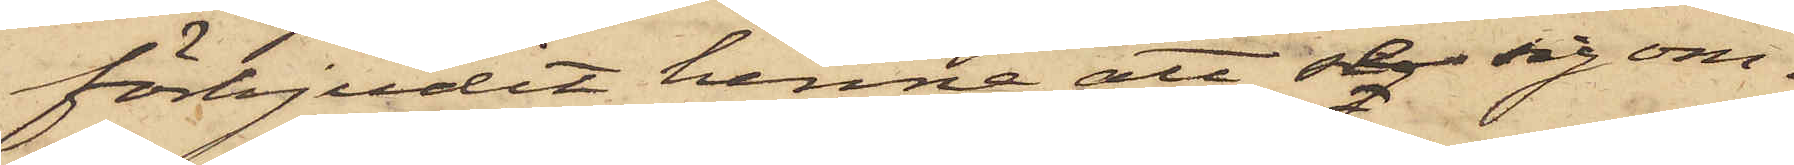förbjudit henne att se sig om¬
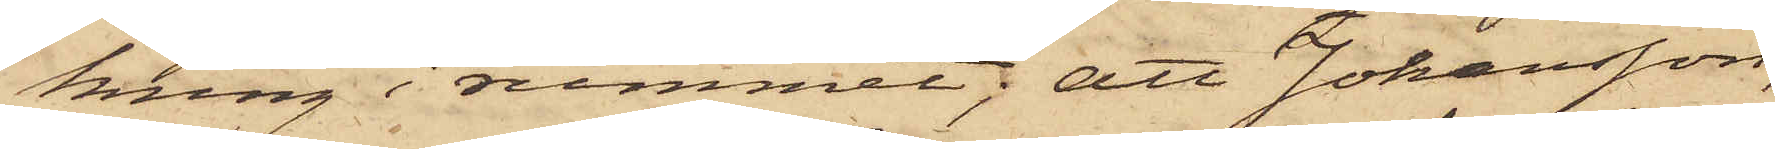kring i rummet; att Johansson,
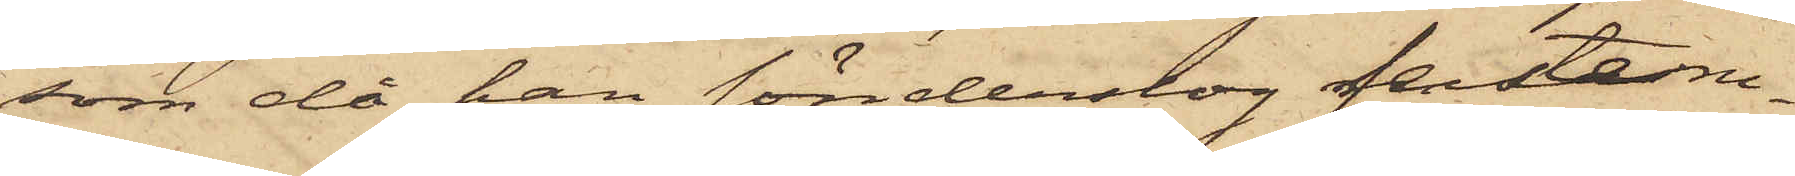som då han sönderslog fensterru¬
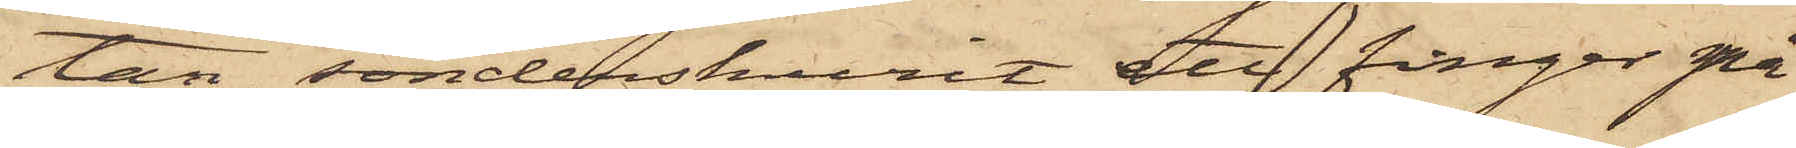tan sönderskurit ett finger på
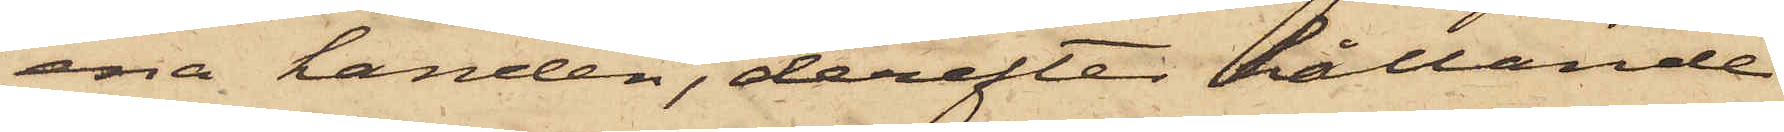ena handen, derefter hållande
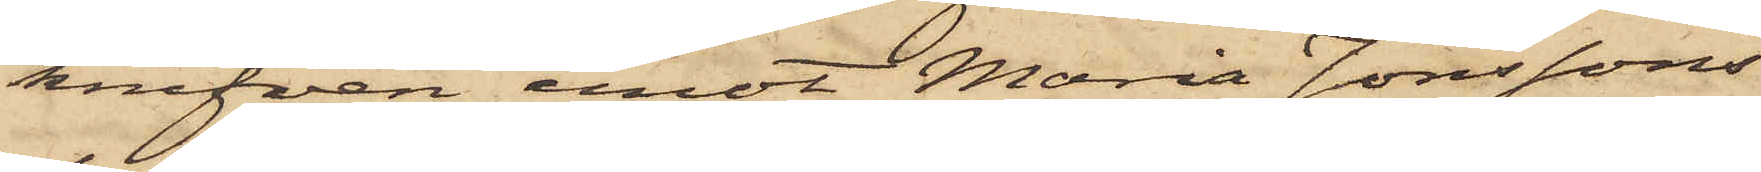knifven emot Maria Jonssons
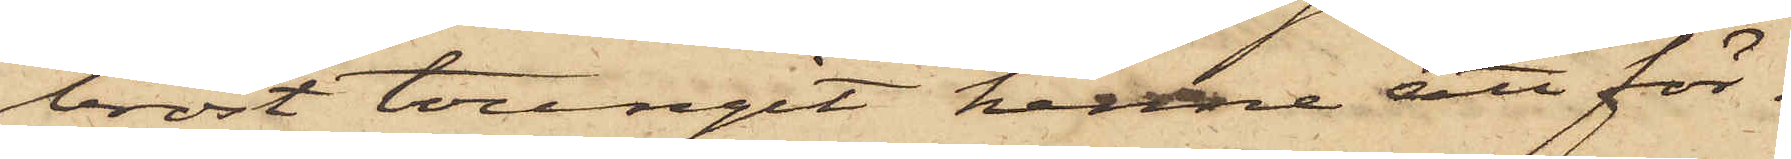bröst tvingat henne att för¬
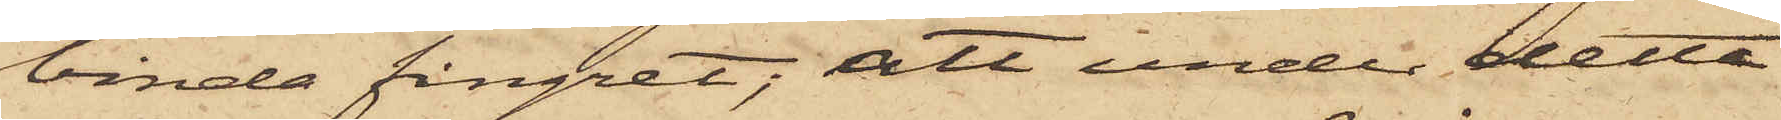binda fingret; att under detta
